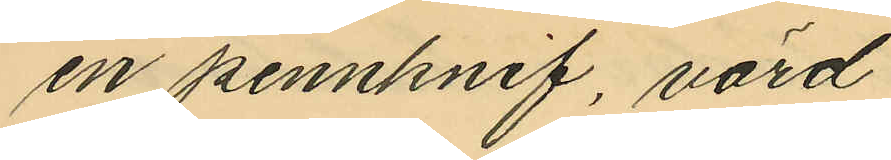en pennknif, värd
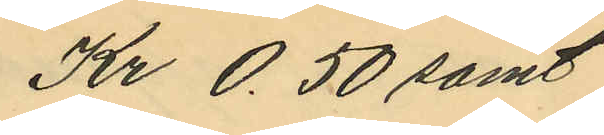Kr 0.50 samt
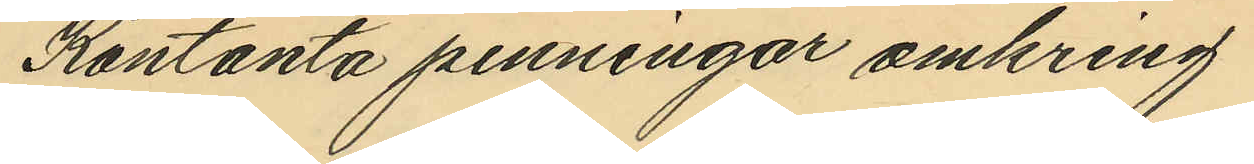Kontanta penningar omkring
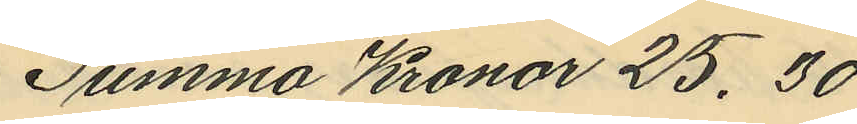Summa Kronor 25,30
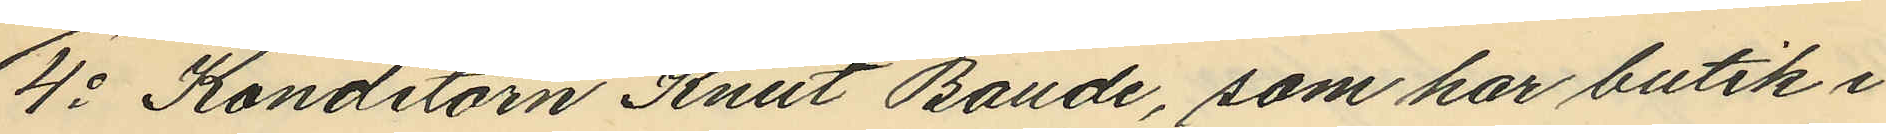4o Konditorn Knut Baude, som har butik i
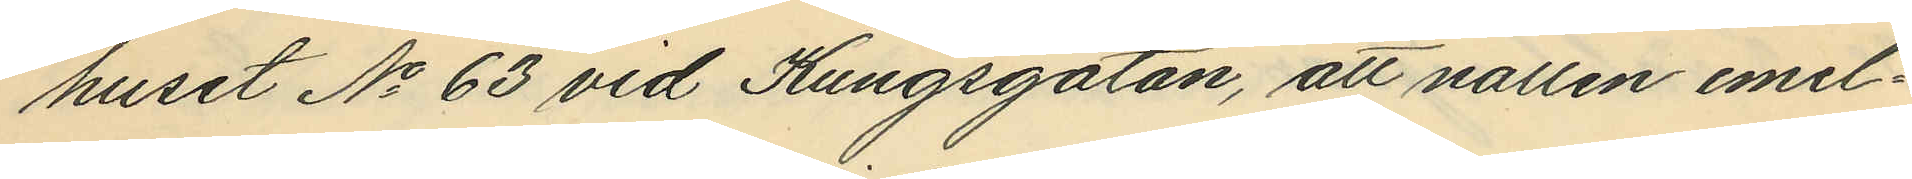huset No 63 vid Kungsgatan, att natten emel¬
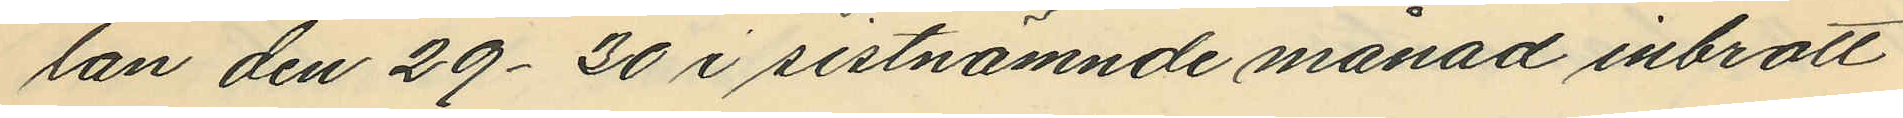lan den 29-30 i sistnämnde månad inbrott
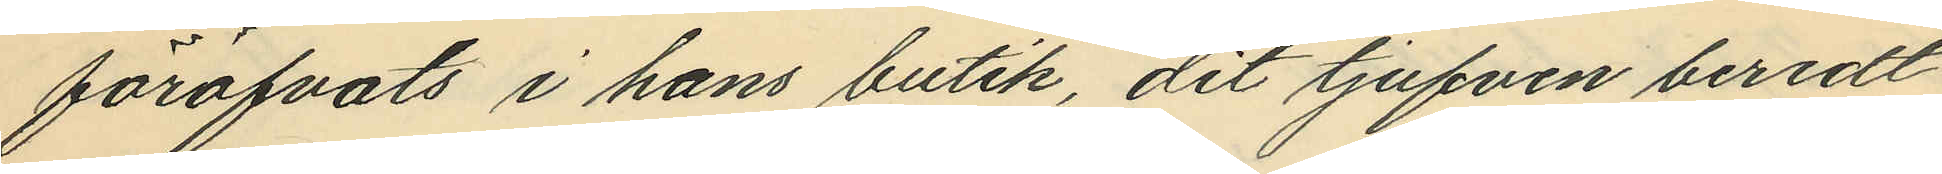föröfvats i hans butik, dit tjufven beredt
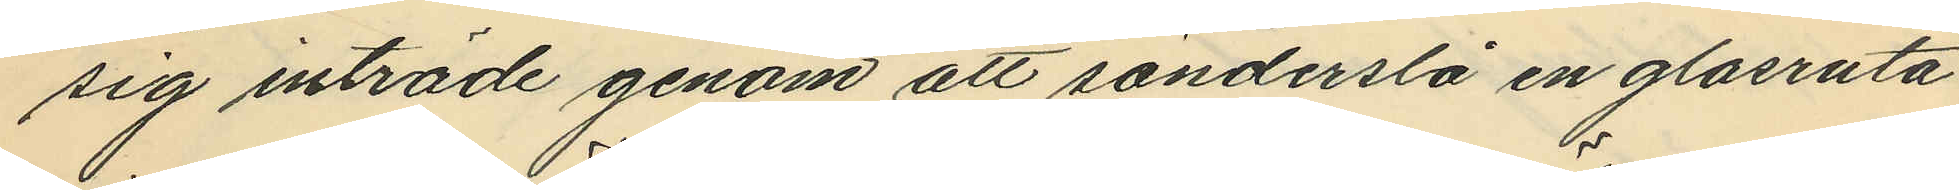sig inträde genom att sönderslå en glasruta
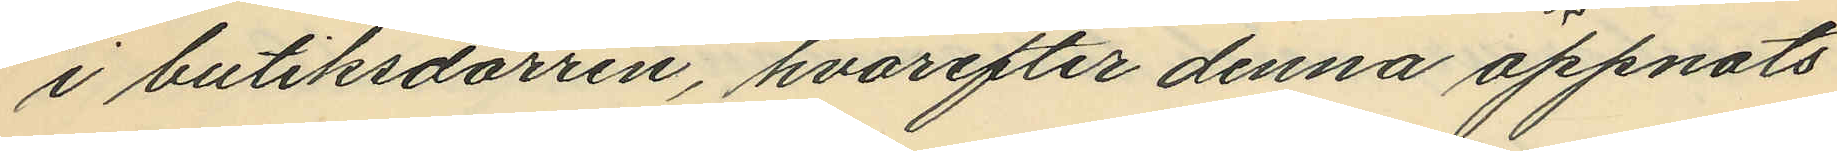i butiksdörren, hvarefter denna öppnats
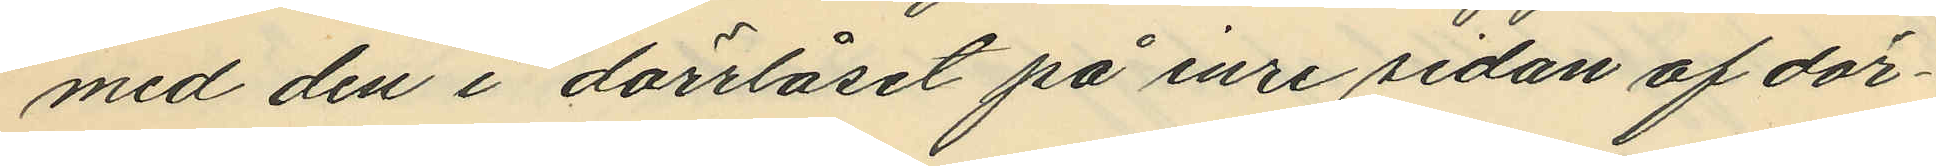med den i dörrlåset på inre sidan af dör¬
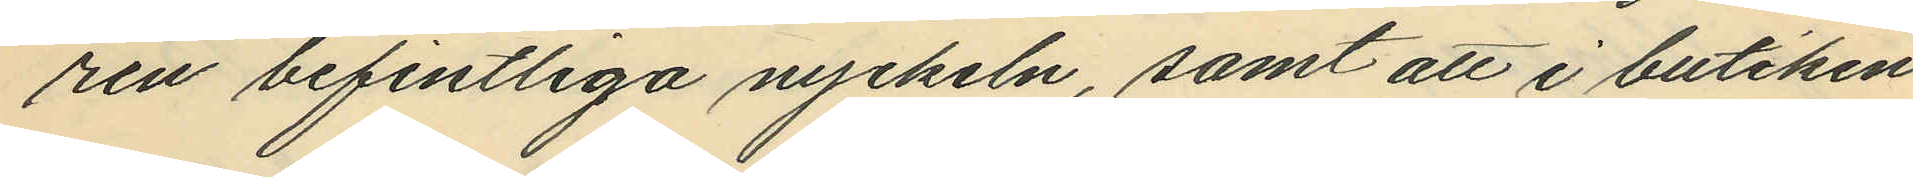ren befintliga nyckeln, samt att i butiken
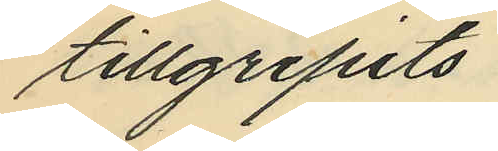tillgripits:
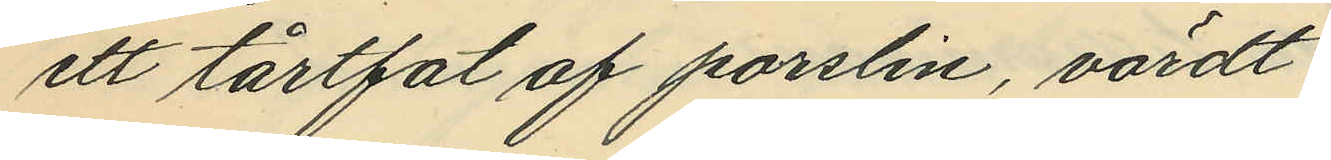ett tårtfat af porslin, värdt
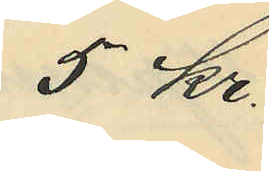5 Kr.
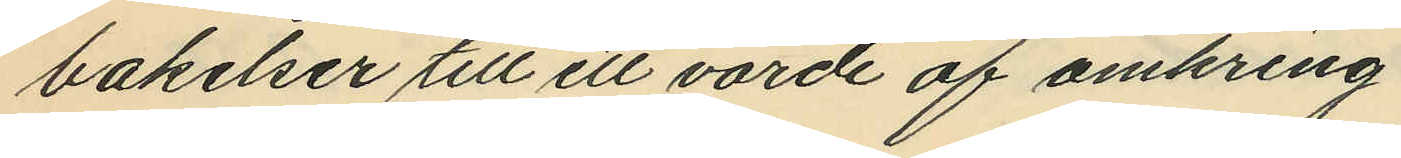bakelser till ett värde af omkring
